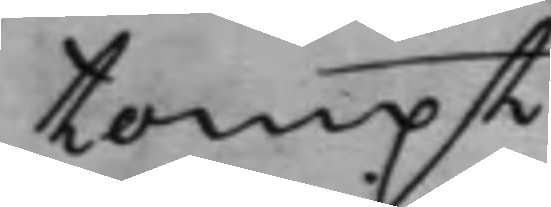tompt.
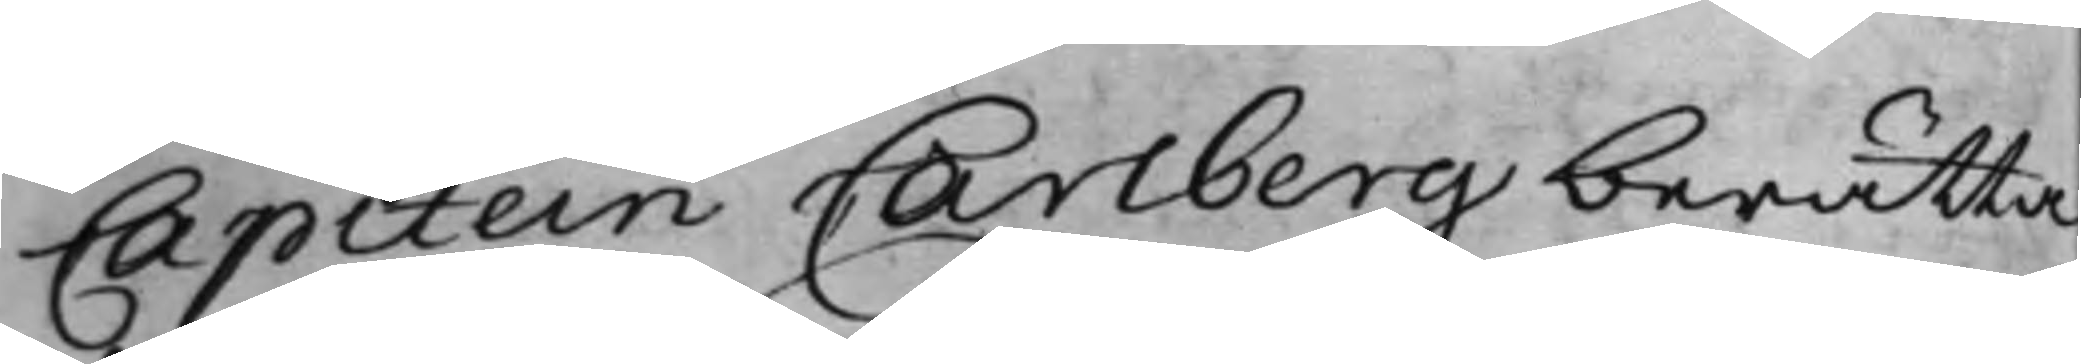Capitein Carlberg berätta¬
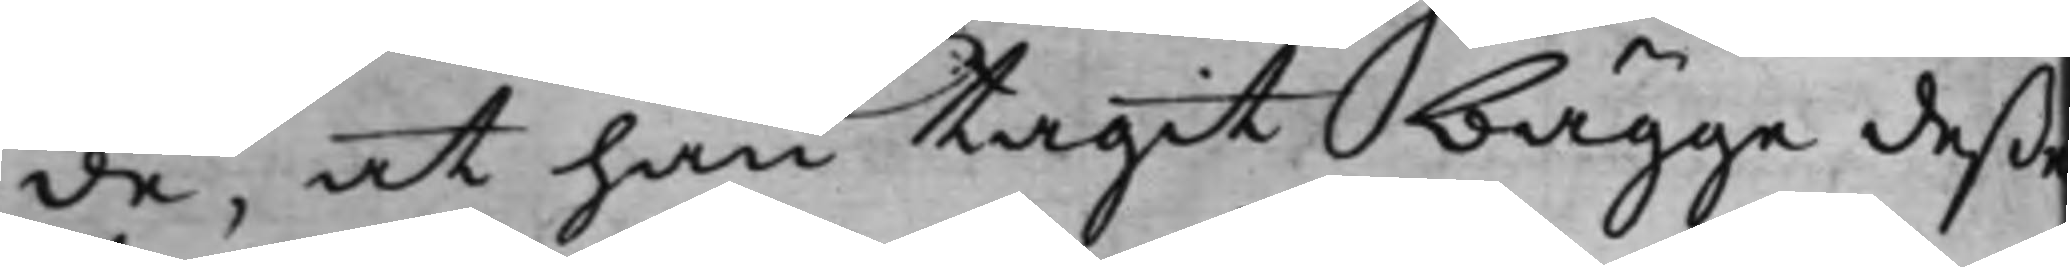de, at han tagit bägge deße
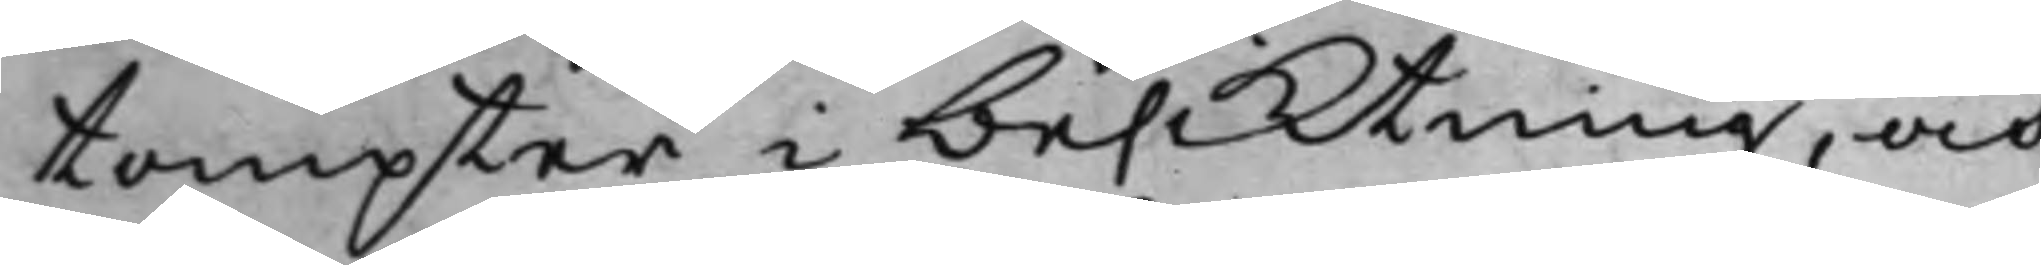tompter i besktning, och
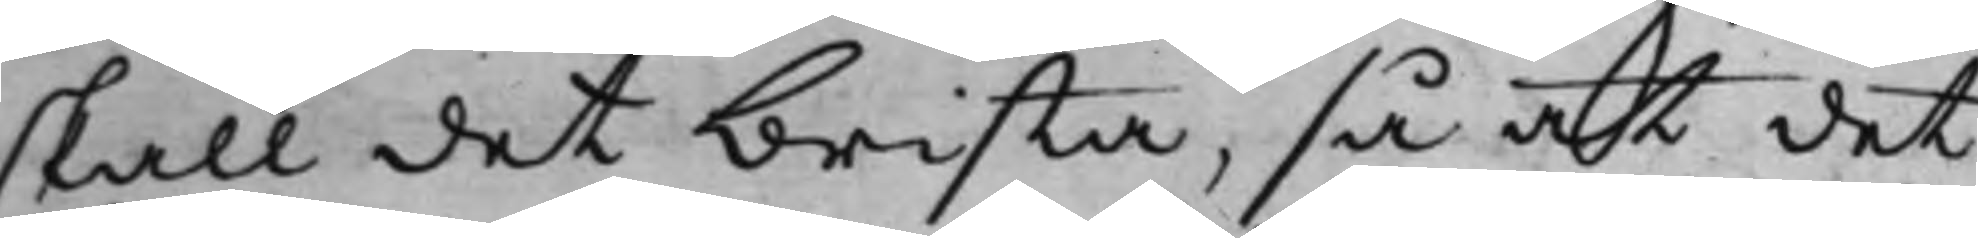skall det brista, så at det
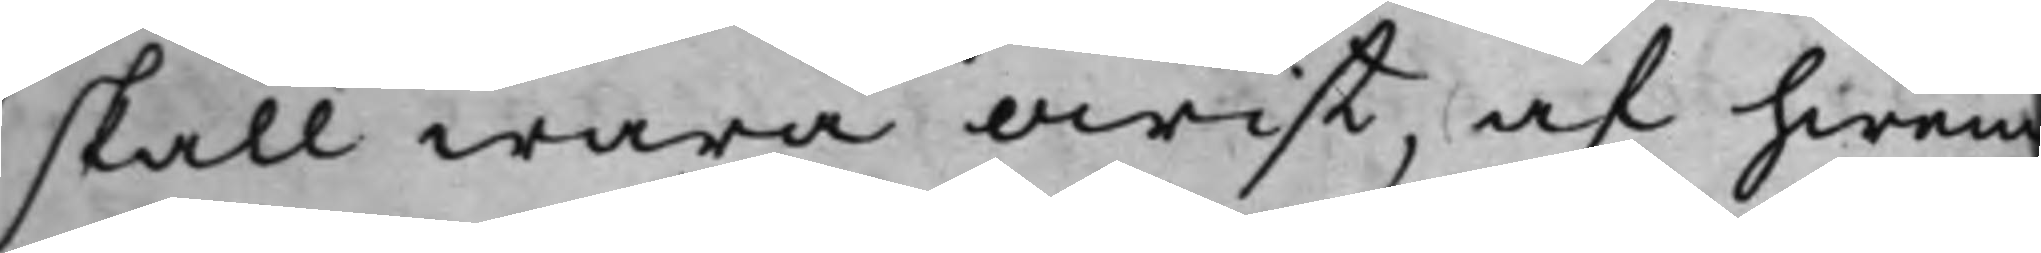skall wara owist, af hwem
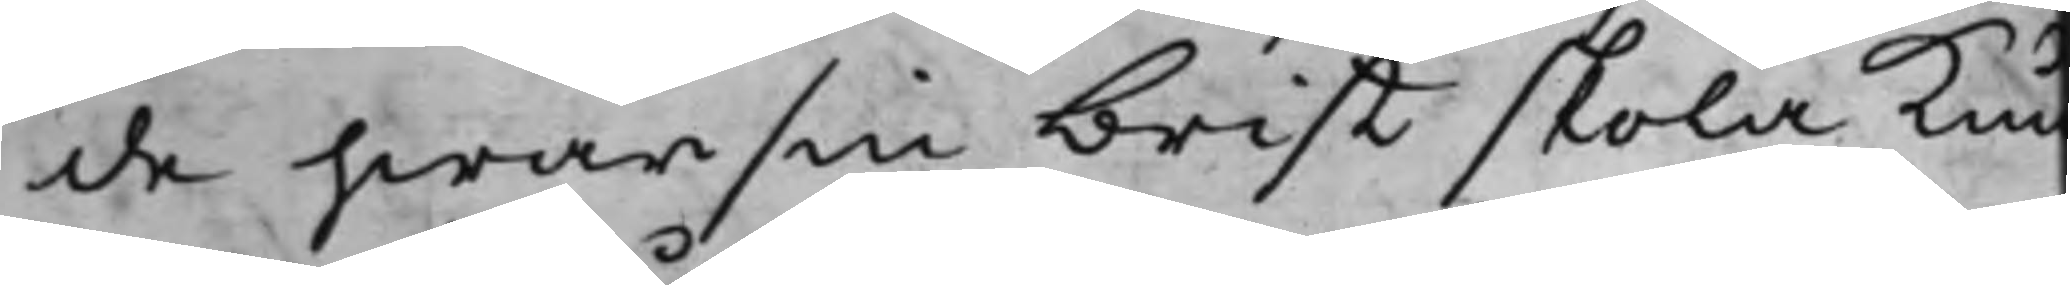de hwarsin brist skola kun¬
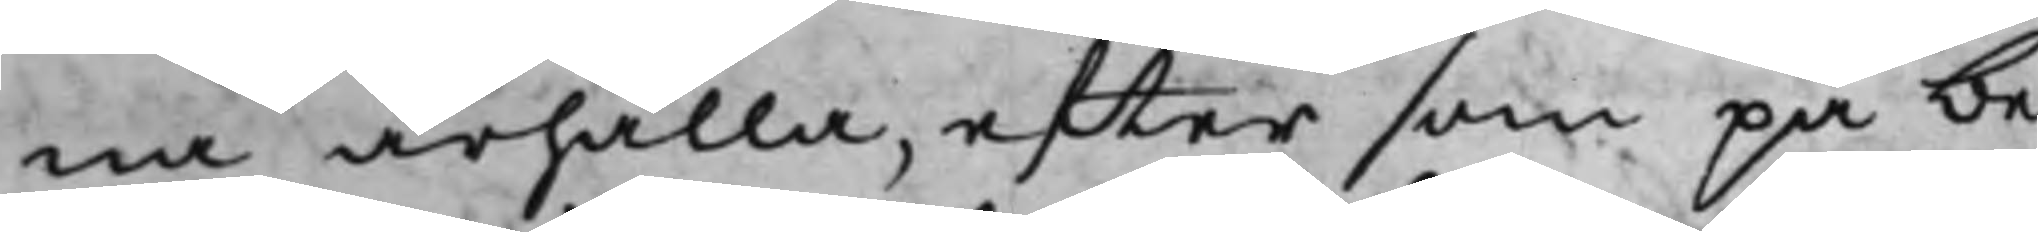na ärhålla, efter som på be¬
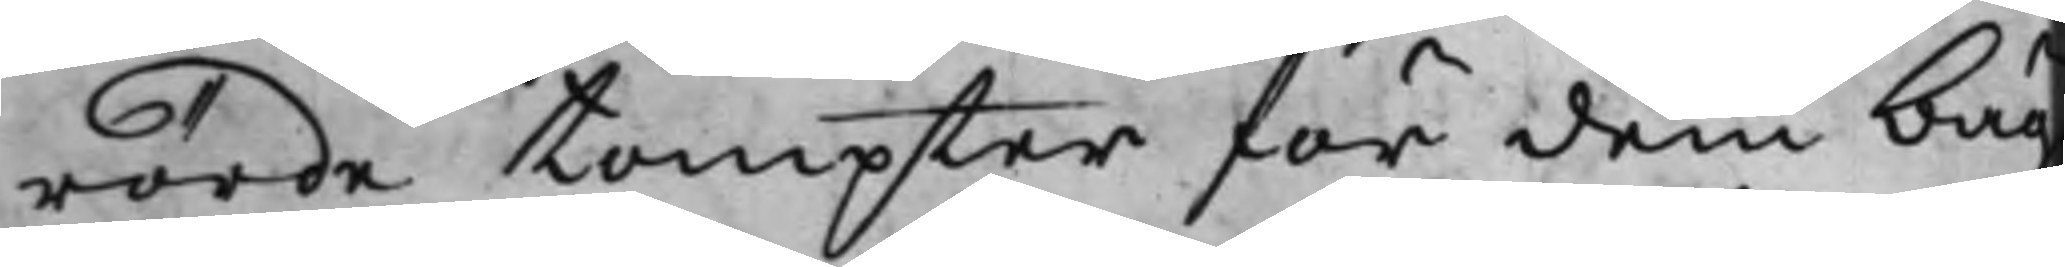rörde tompter för dem bäg¬
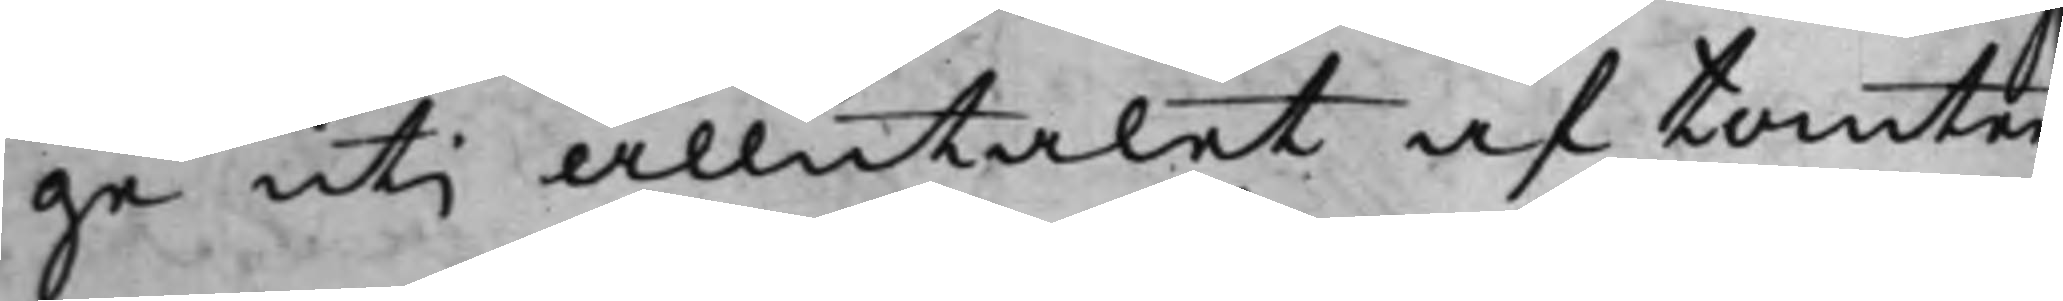ge uti allntalet af tomter¬
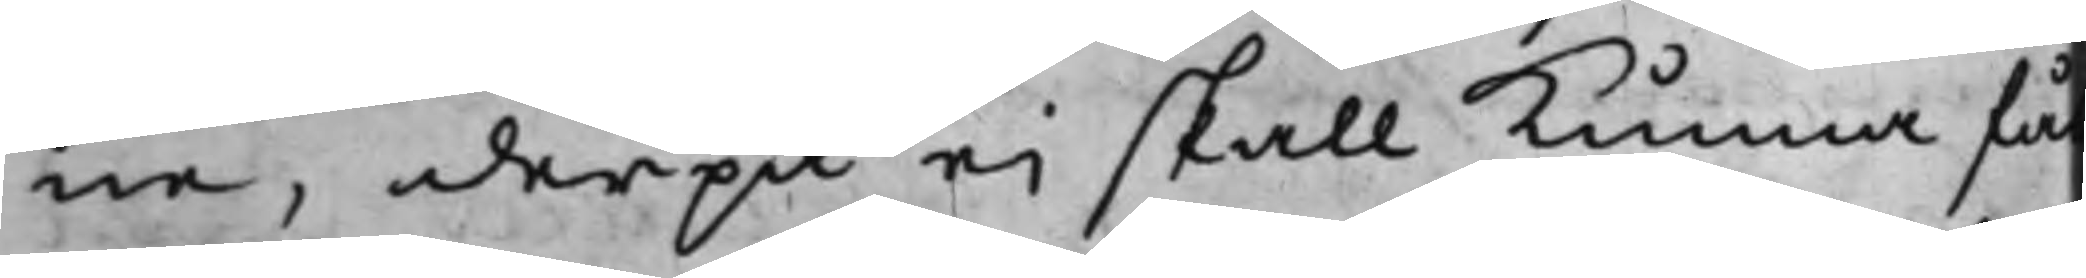ne, derpå ei skall kunna få
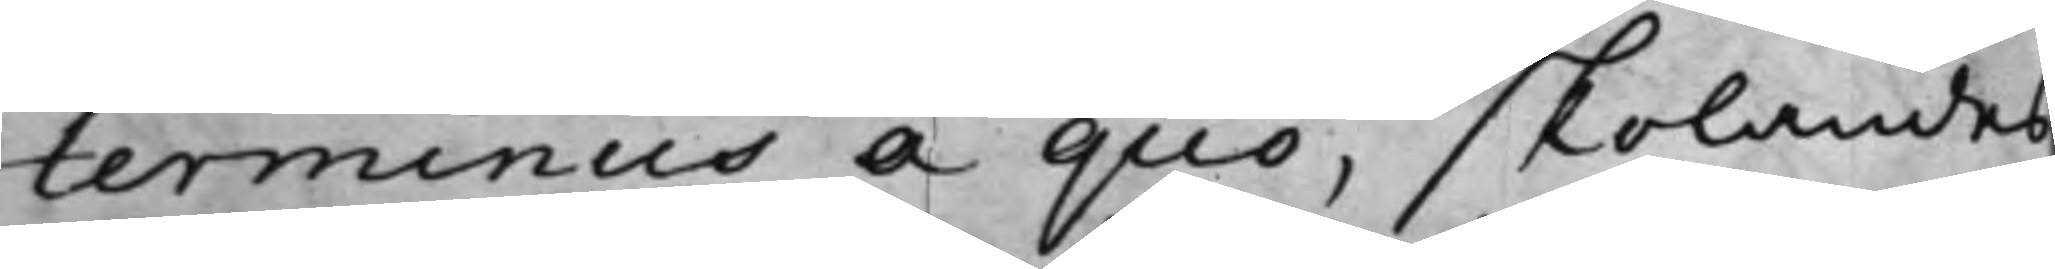terminus a quo, skolandes
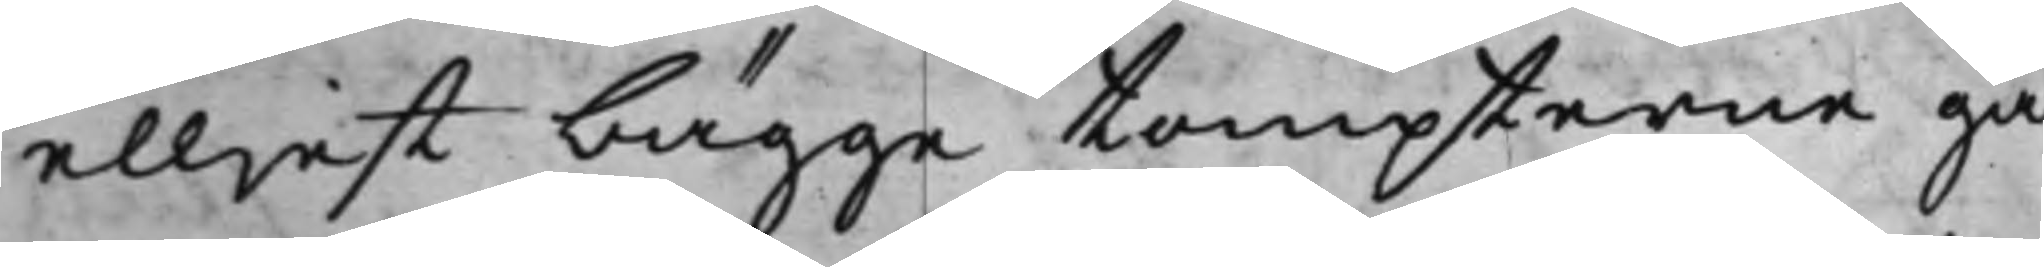elljest bägge tompterne gå
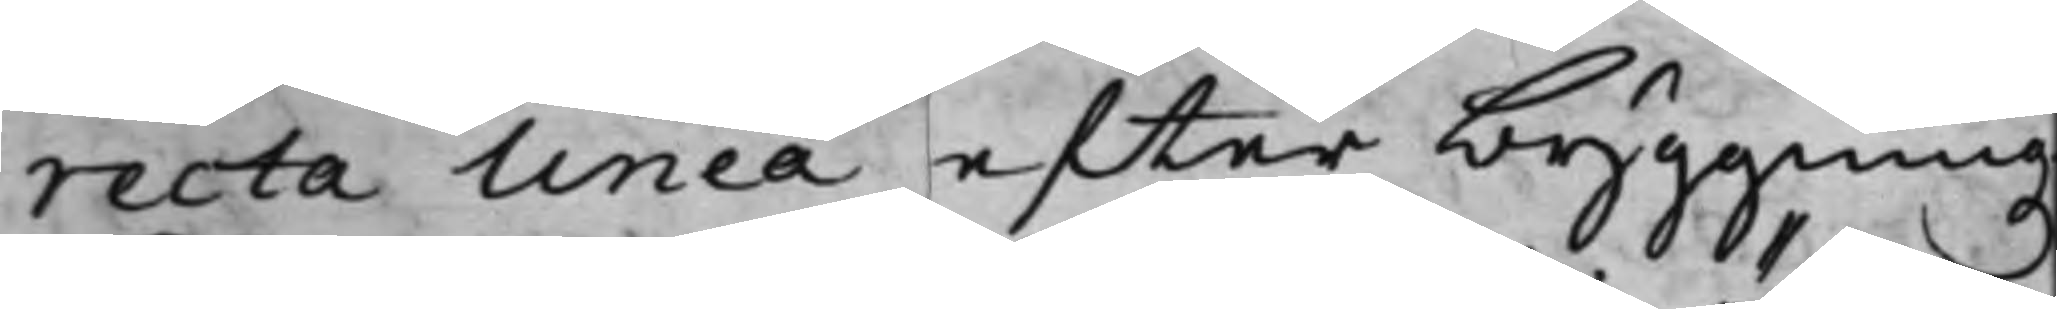recta linea efter byggningz¬
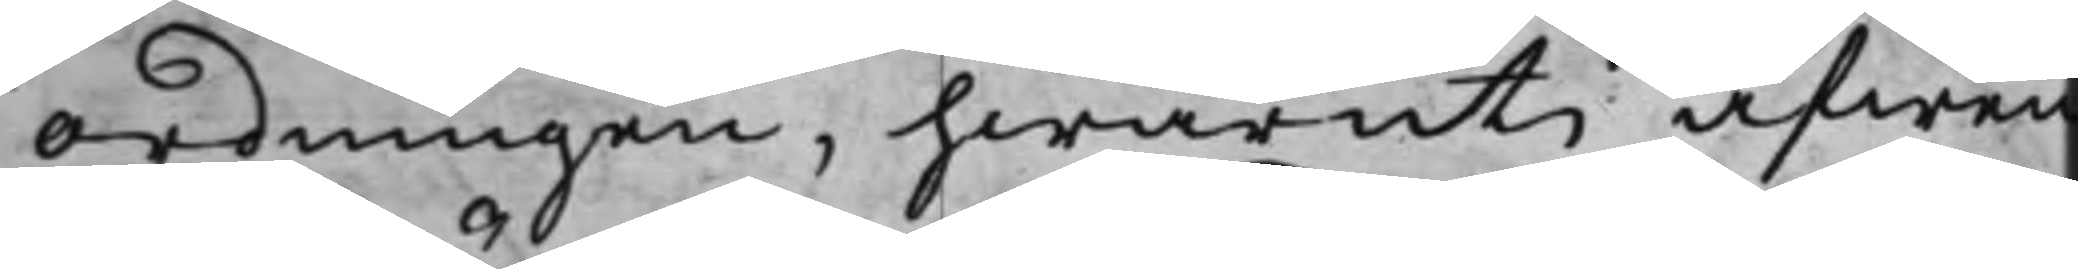ordningen, hwaruti äfwen
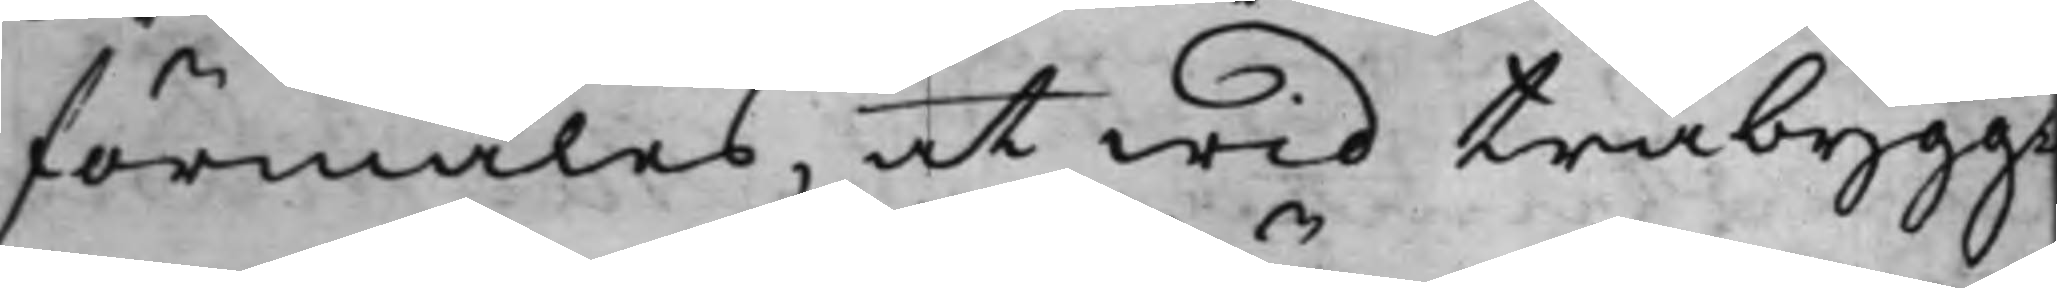förmäles, at wid träbygg¬
